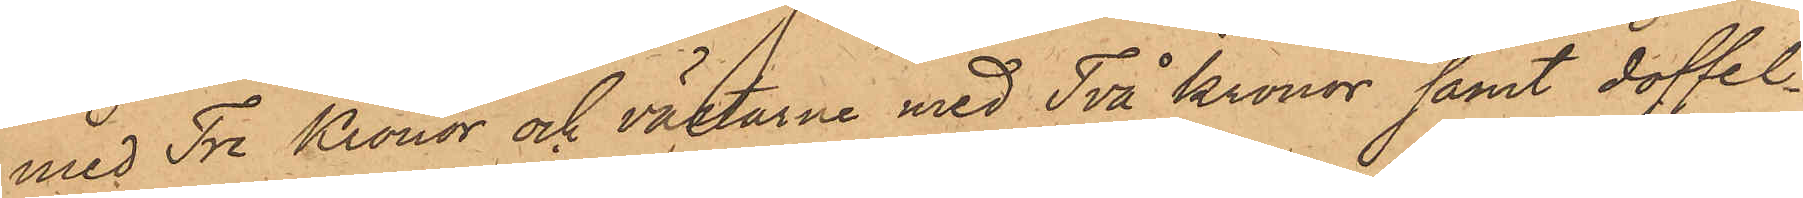med Tre Kronor och västarne med Två Kronor samt doffel¬
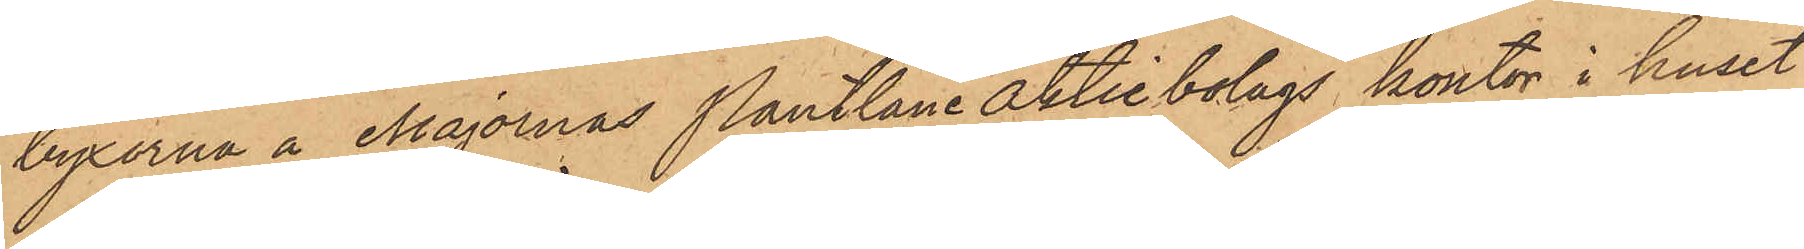byxorna å Majornas Pantlåne aktiebolags kontor i huset
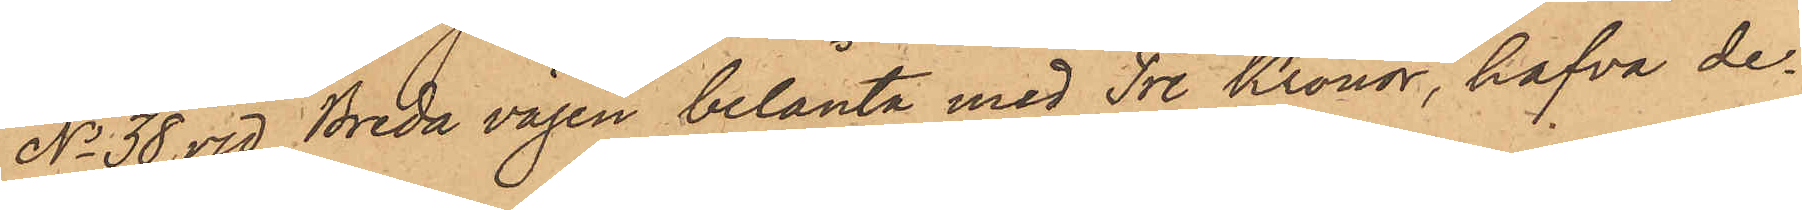No 38 vid Breda vägen belånte med Tre Kronor, hafva de¬
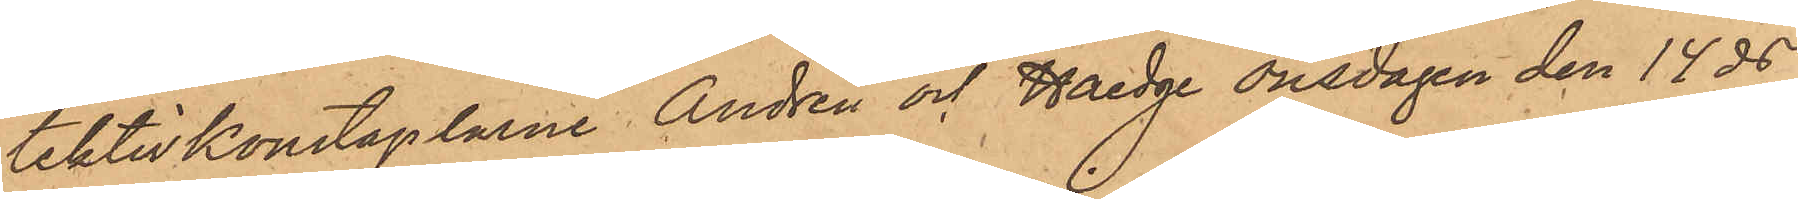tektivkonstaplarne Andrén och Haedge onsdagen den 14 ds
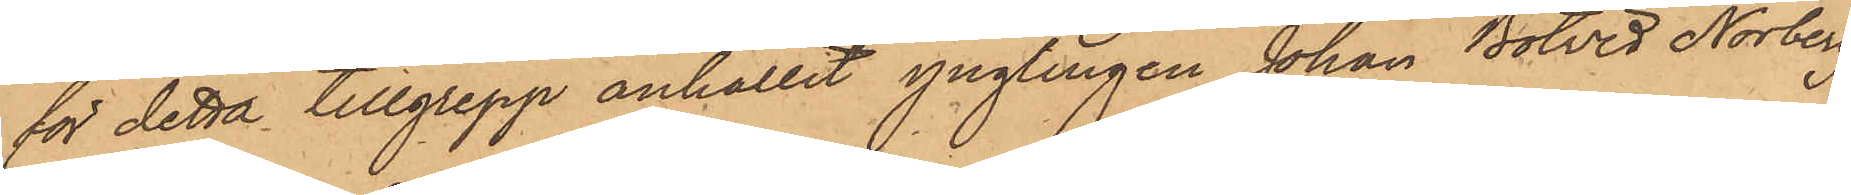för detta tillgrepp anhållit ynglingen Johan Botvid Norberg
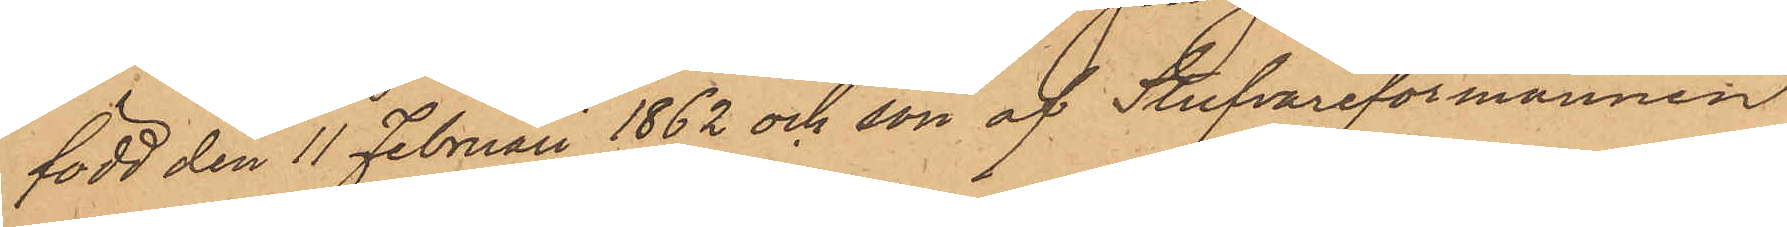född den 11 Februari 1862 och son af Stufvareförmannen
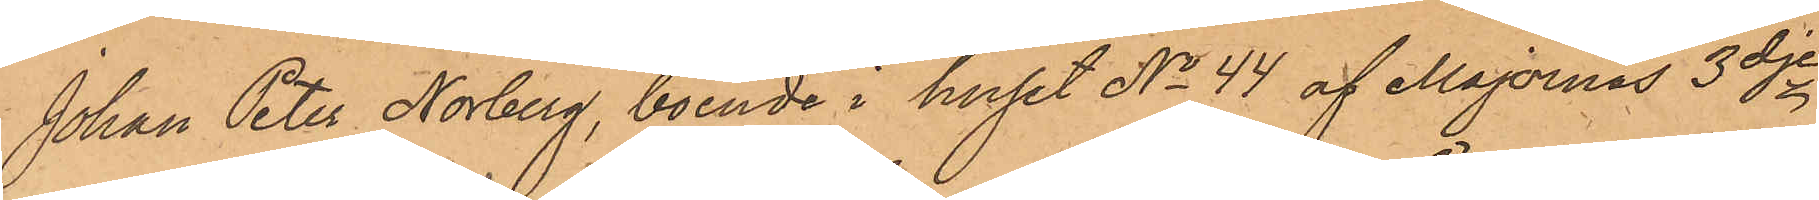Johan Peter Norberg, boende i huset No 44 af Majornas 3dje
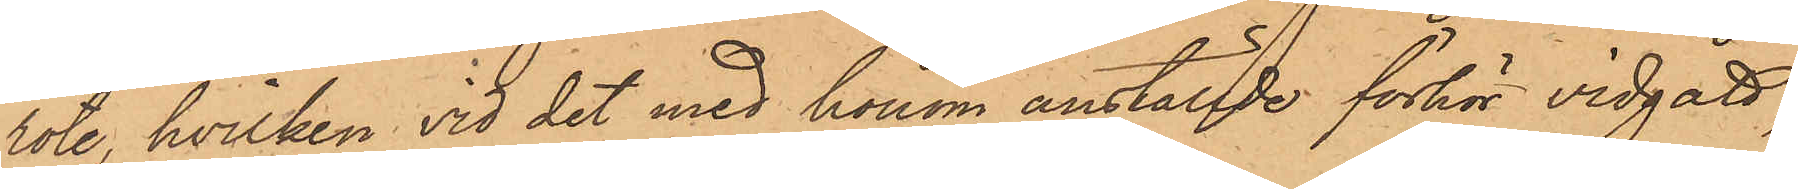rote, hvilken vid det med honom anställde förhör vidgått,
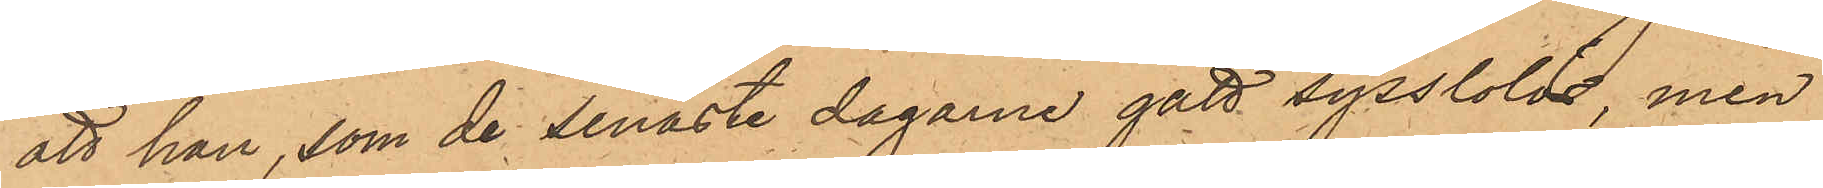att han, som de senaste dagarne gått sysslolös, men
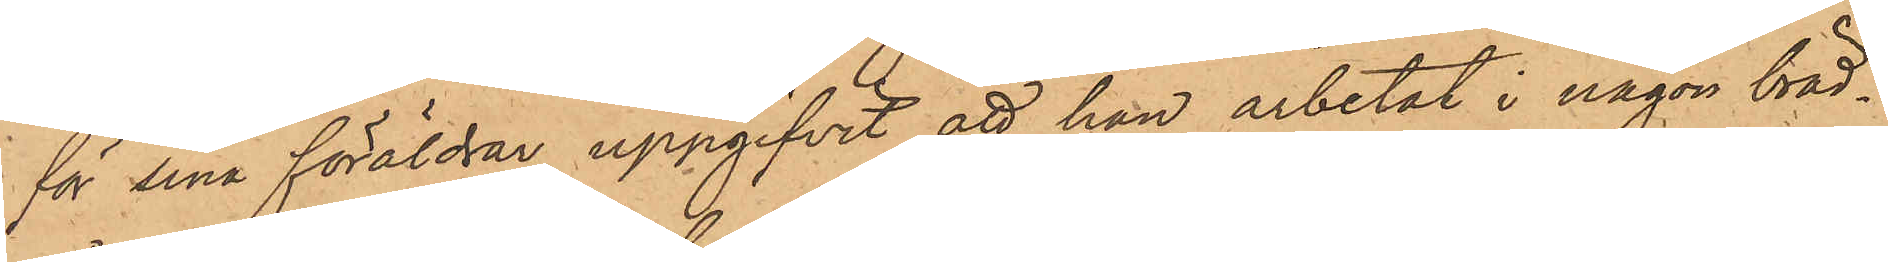för sina föräldrar uppgifvit att han arbetat i någon bräd¬
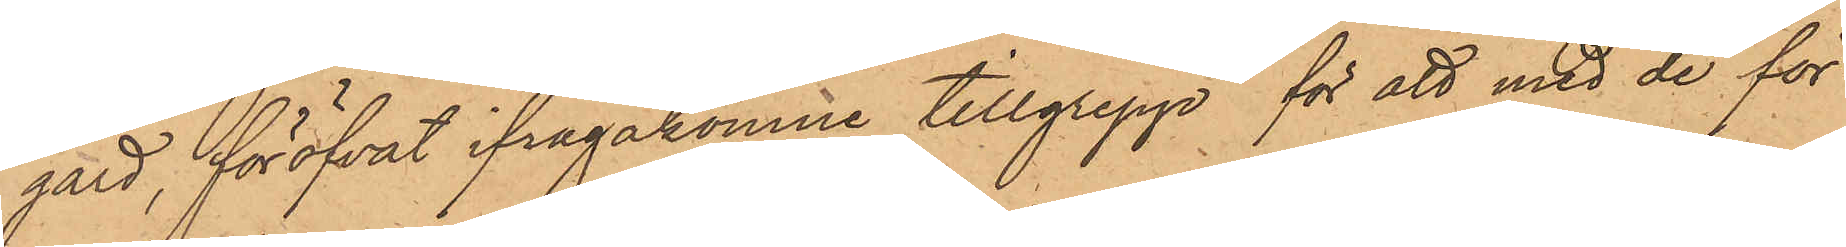gård, föröfvat ifrågakomne tillgrepp för att med de för
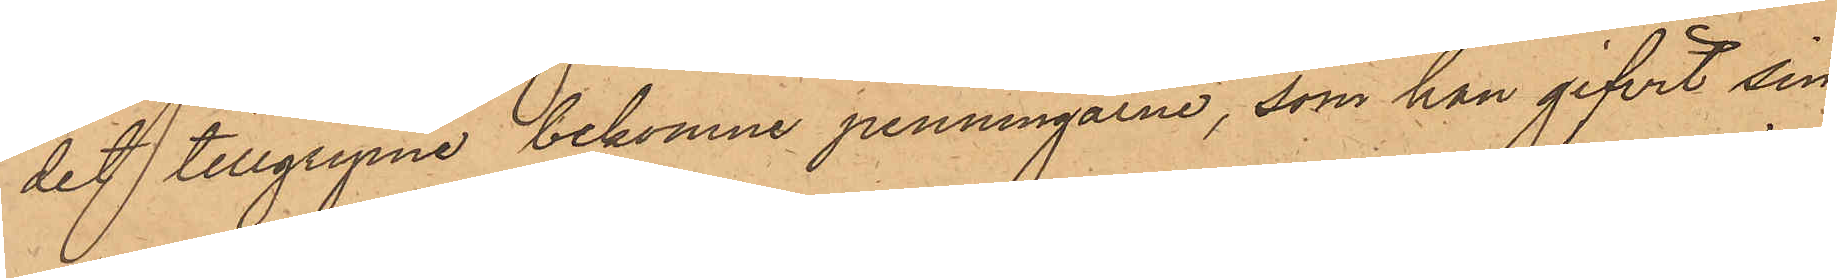det tillgripne bekomne penningarne, som han gifvit sig
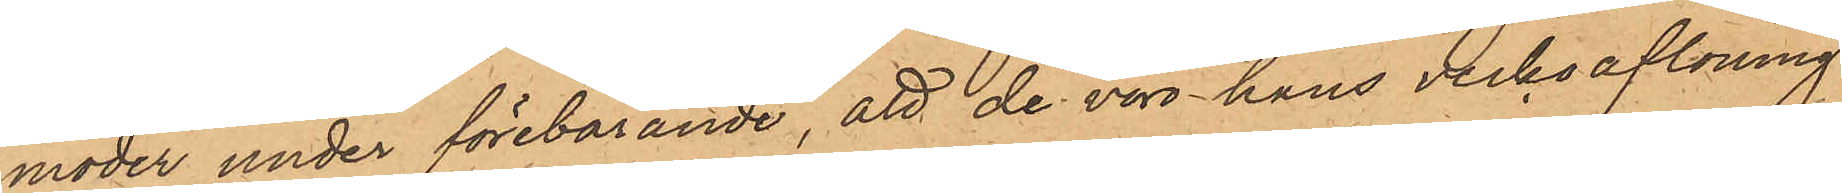moder under förebörande, att de voro hans veckoaflöning,
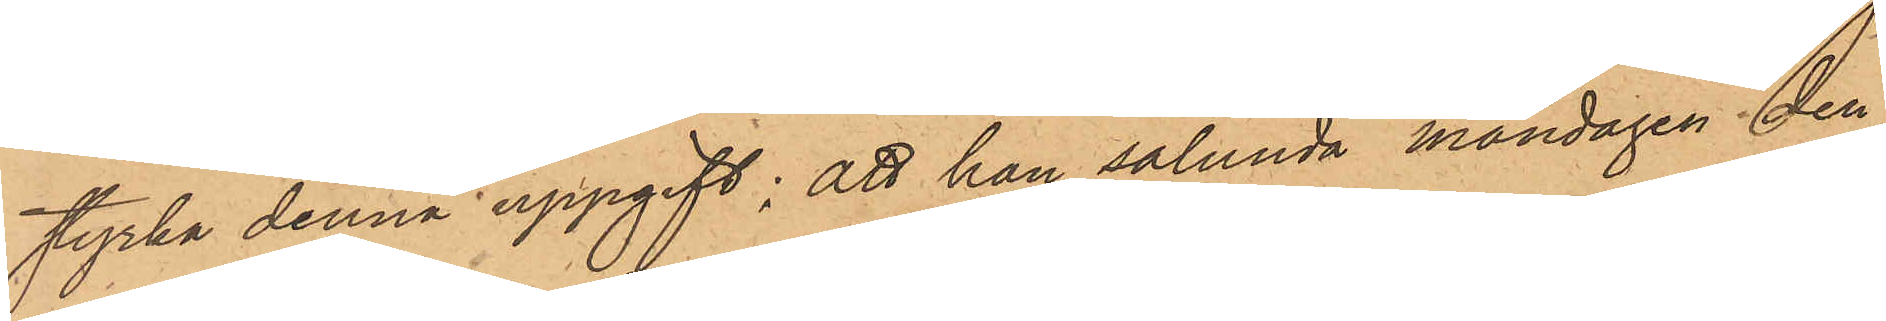styrka denna uppgift; att han sålunda måndagen den
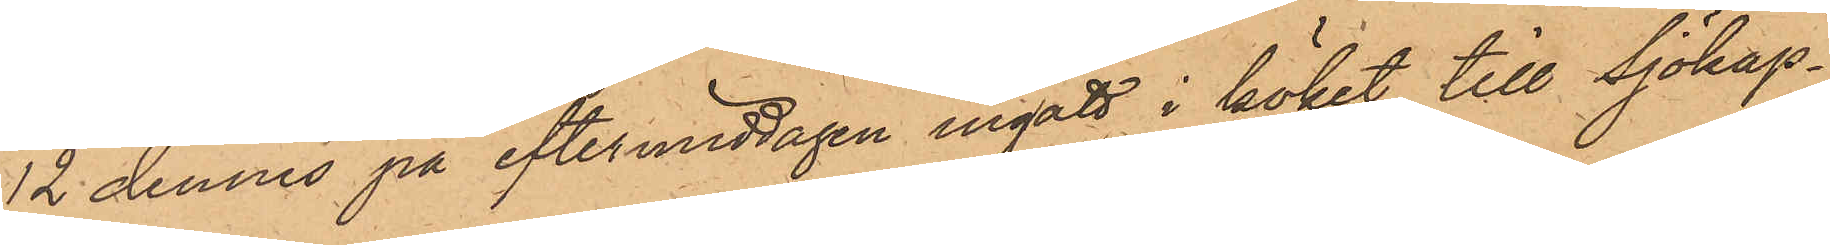12 dennes på eftermiddagen ingått i köket till Sjökap¬
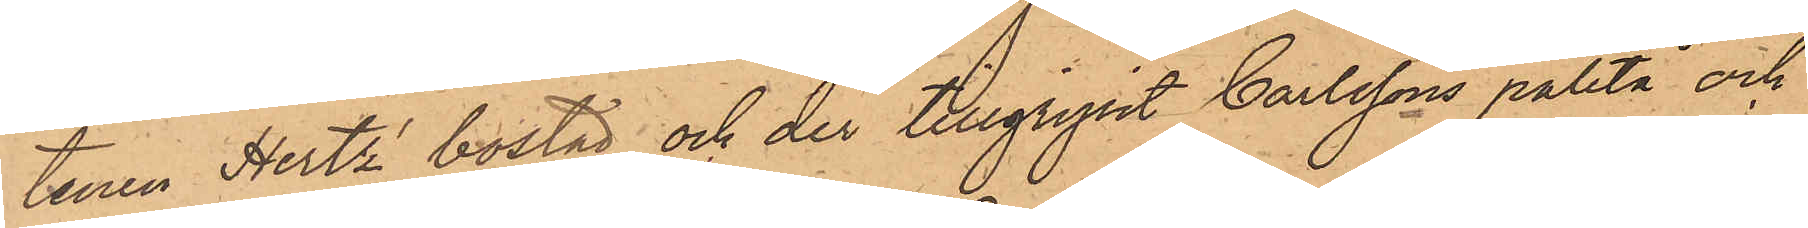tenen Hertz bostad och der tillgripit Carlssons paletå och
